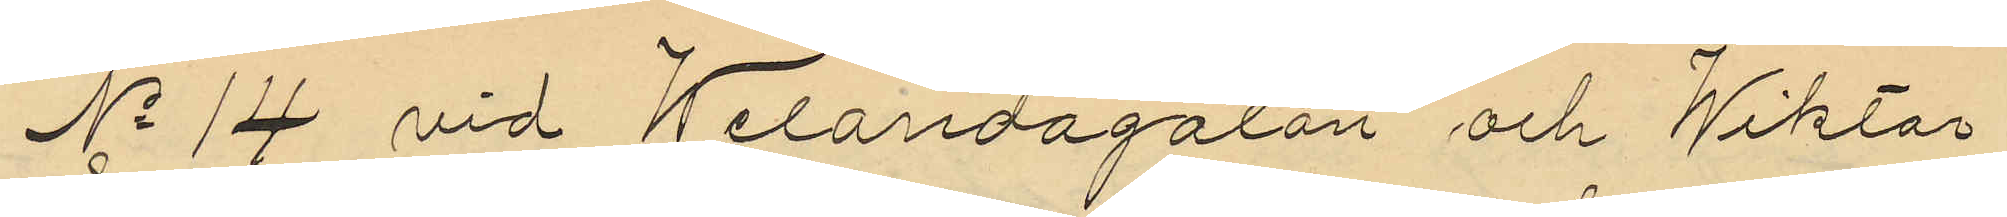No 14 vid Welandagatan och Wiktor
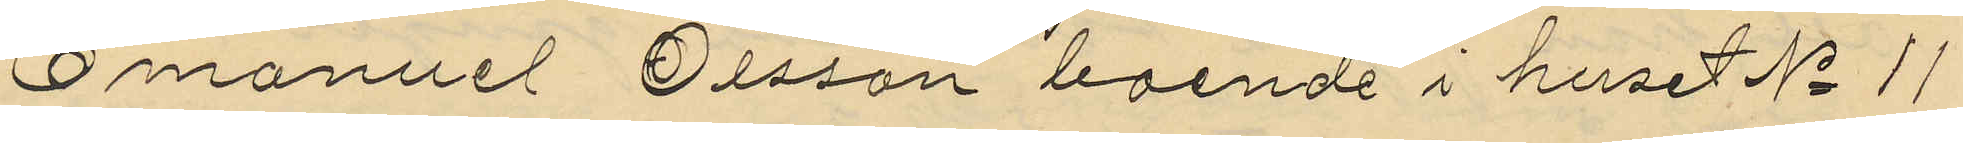Emanuel Olsson boende i huset No 11
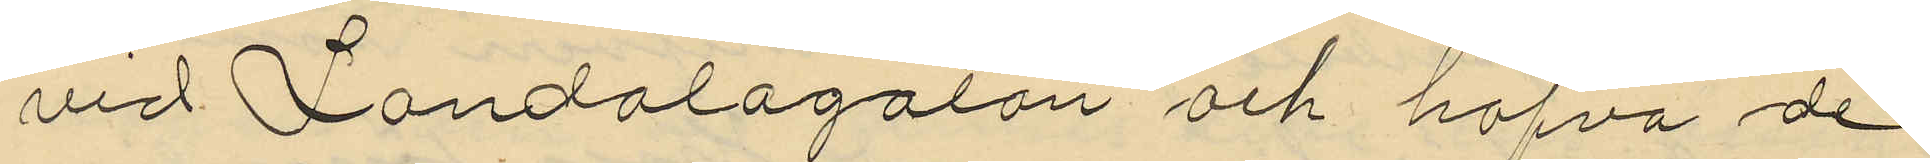vid Landalagatan och hafva de
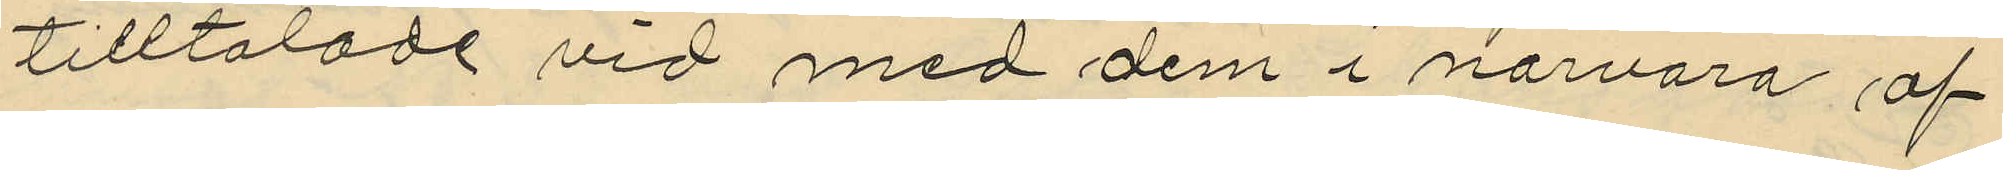tilltalade vid med dem i närvaro af
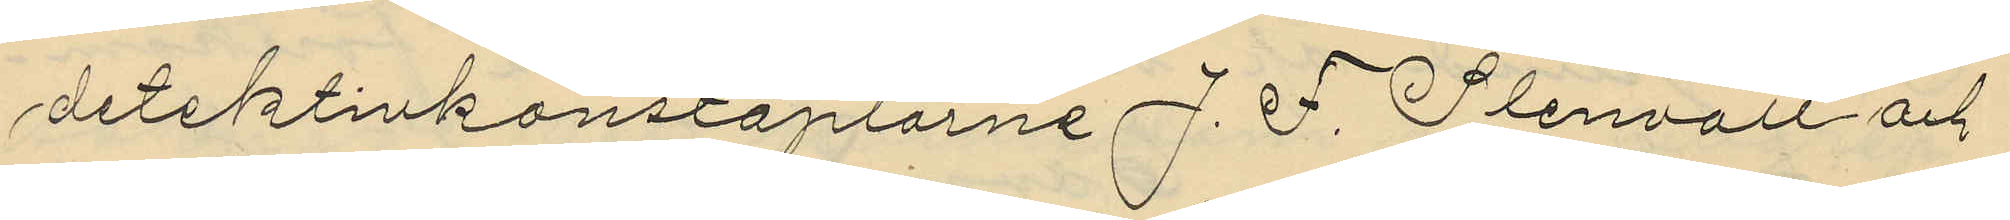detektivkonstaplarne J. F. Stenvall och
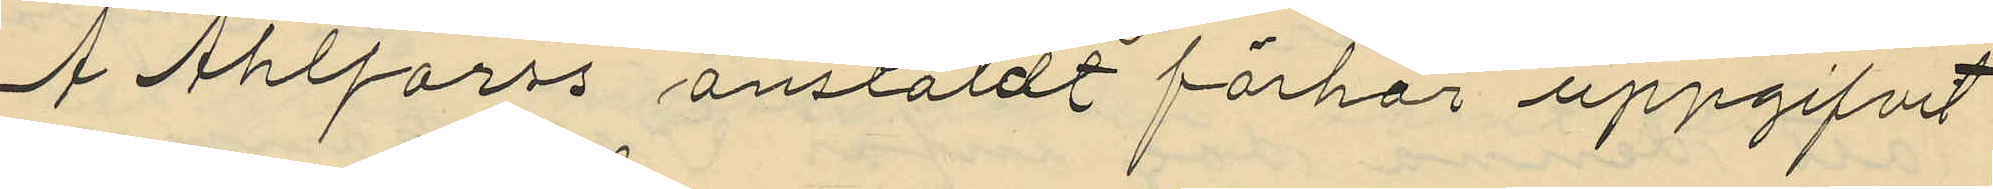A Ahlforss anstäldt förhör uppgifvit
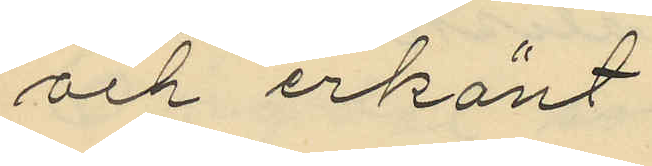och erkänt
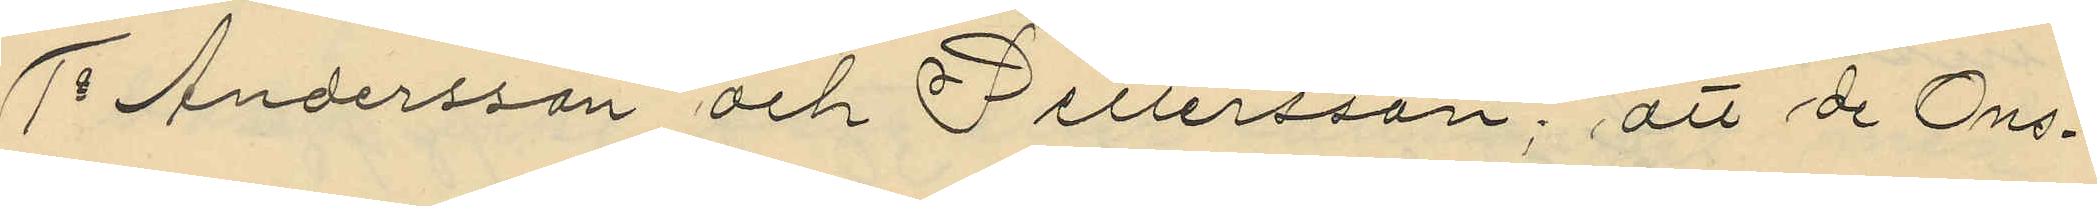1o Andersson och Pettersson; att de Ons¬
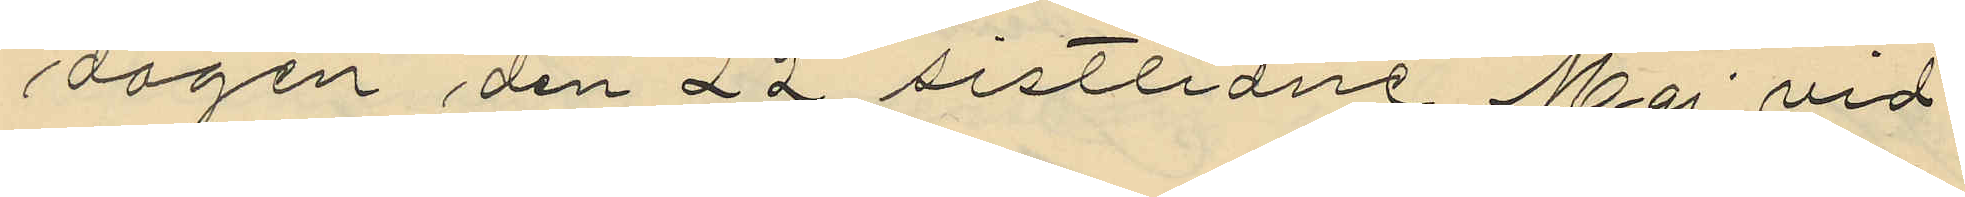dagen den 22 sistlidne Maj vid
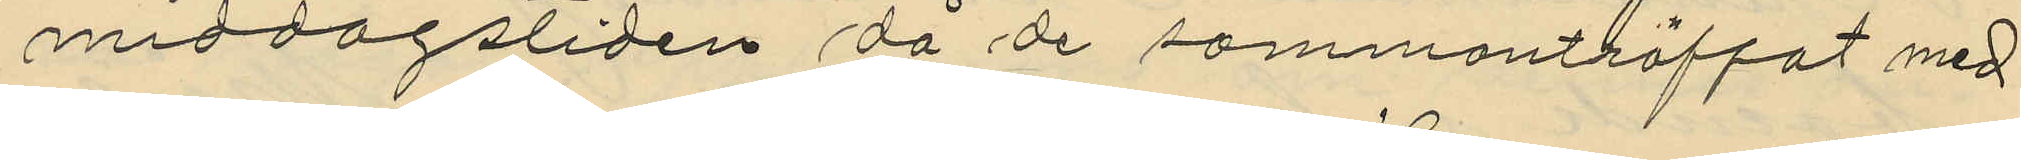middagstiden då de sammanträffat med
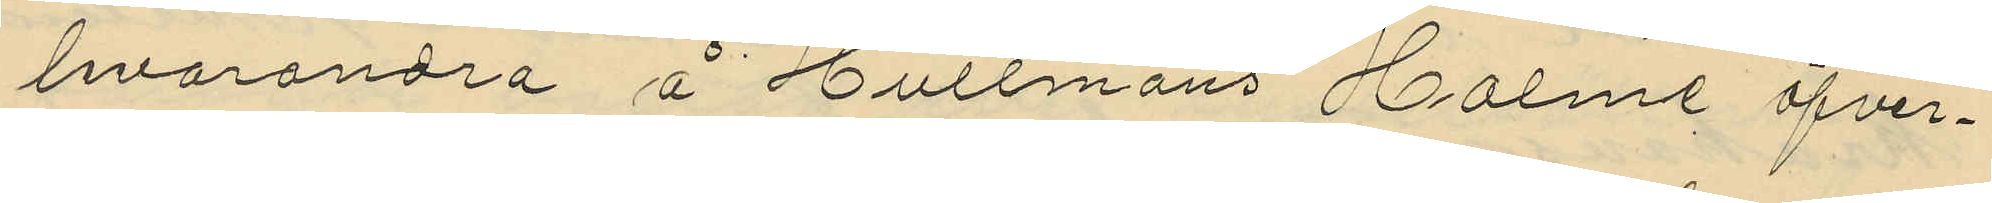hvarandra å Hultmans Holme öfver¬
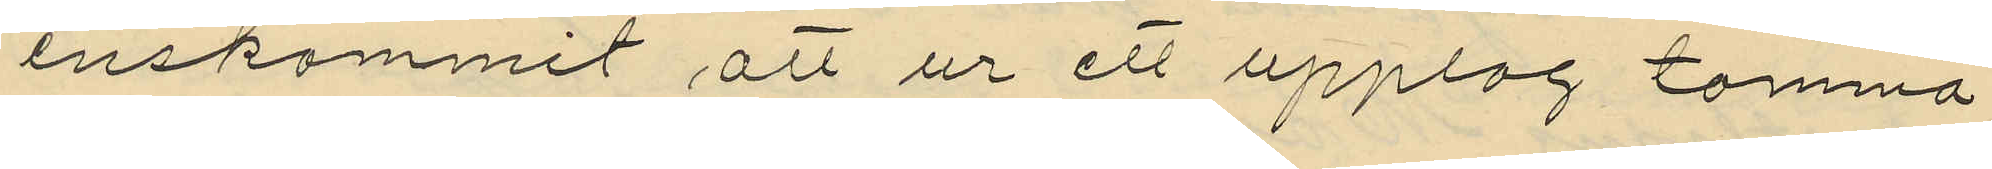enskommit att ur ett upplag tomma
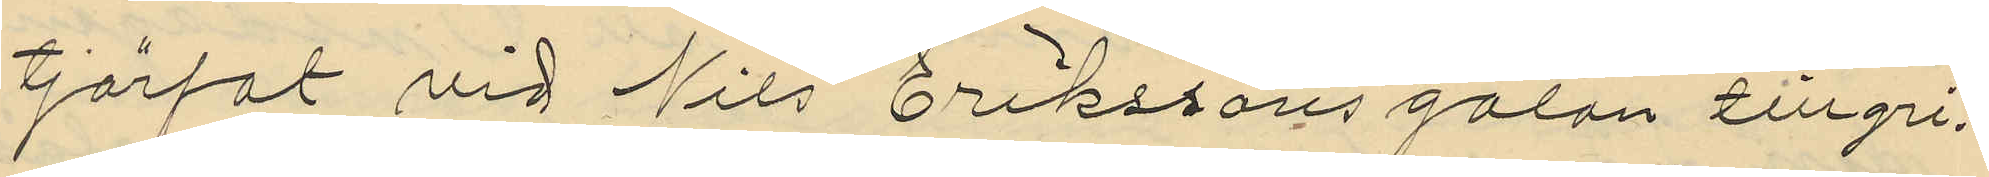tjärfat vid Nils Erikssons gatan tillgri¬
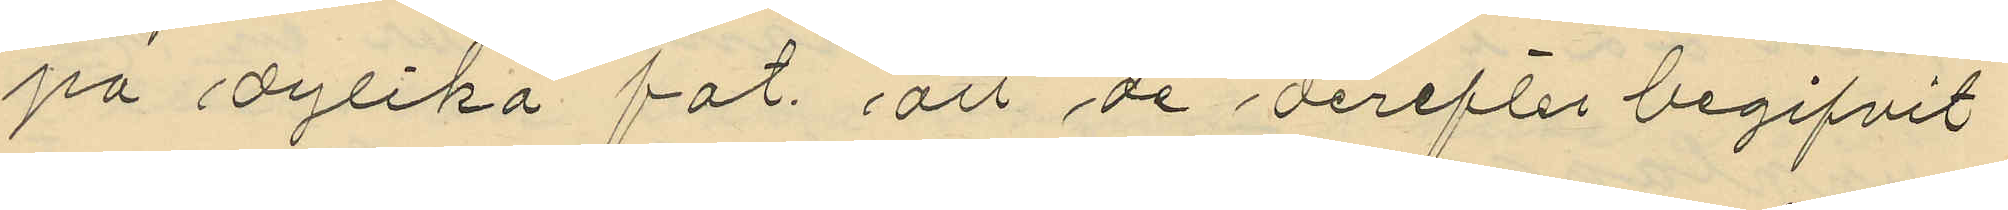pa dylika fat att de derefter begifvit
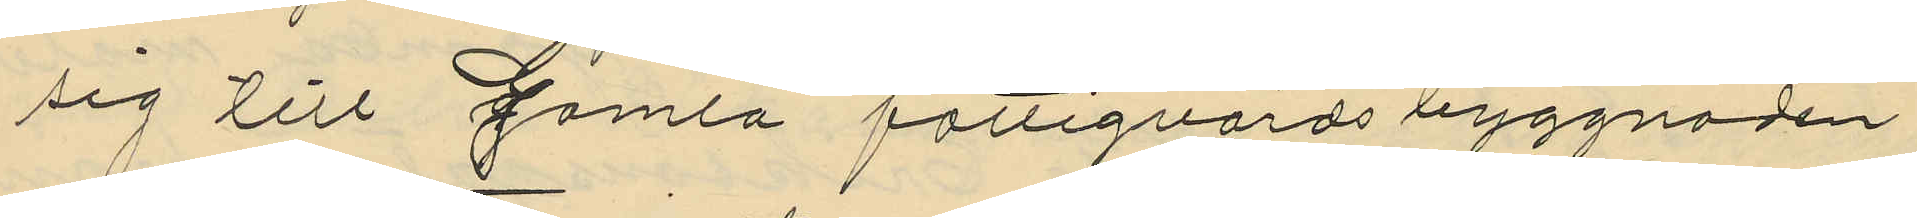sig till Gamla fattigvårdsbyggnaden
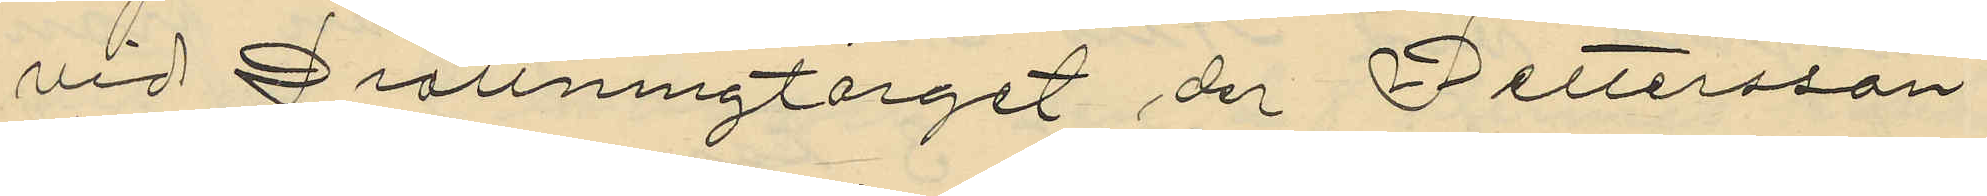vid Drottningtorget der Pettersson
